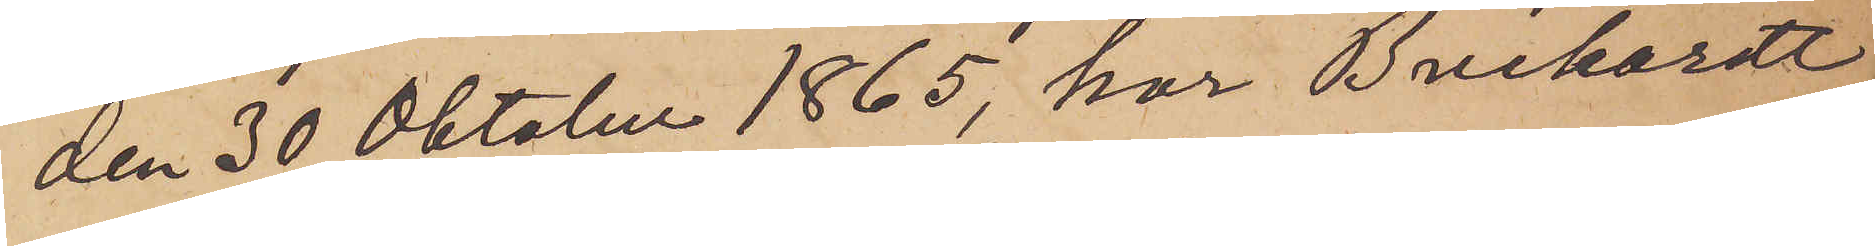den 30 Oktober 1865, har Bruchardt,
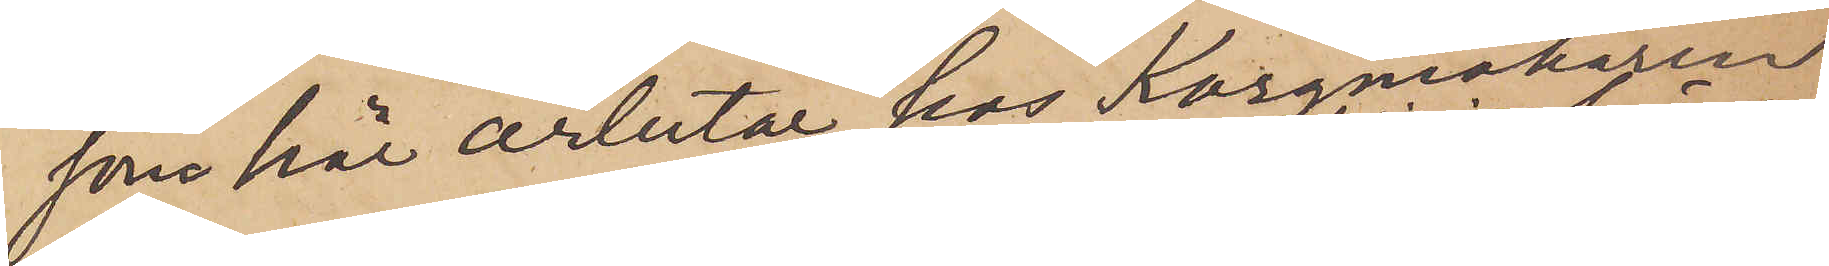som här arbetar hos Korgmakaren
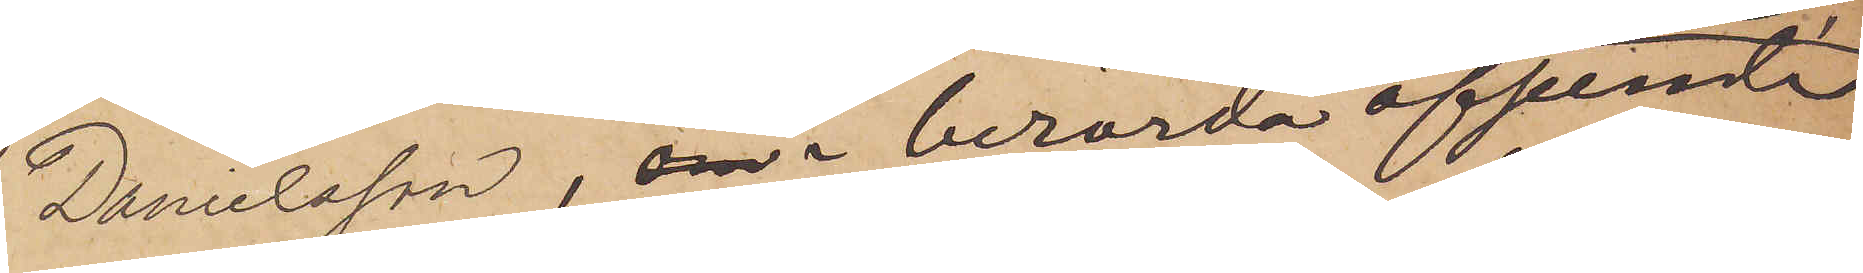Danielsson, om i berörda afseeende
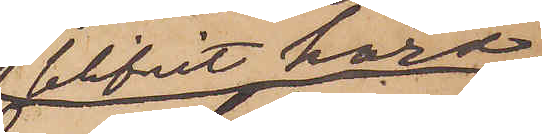blifvit hörd,
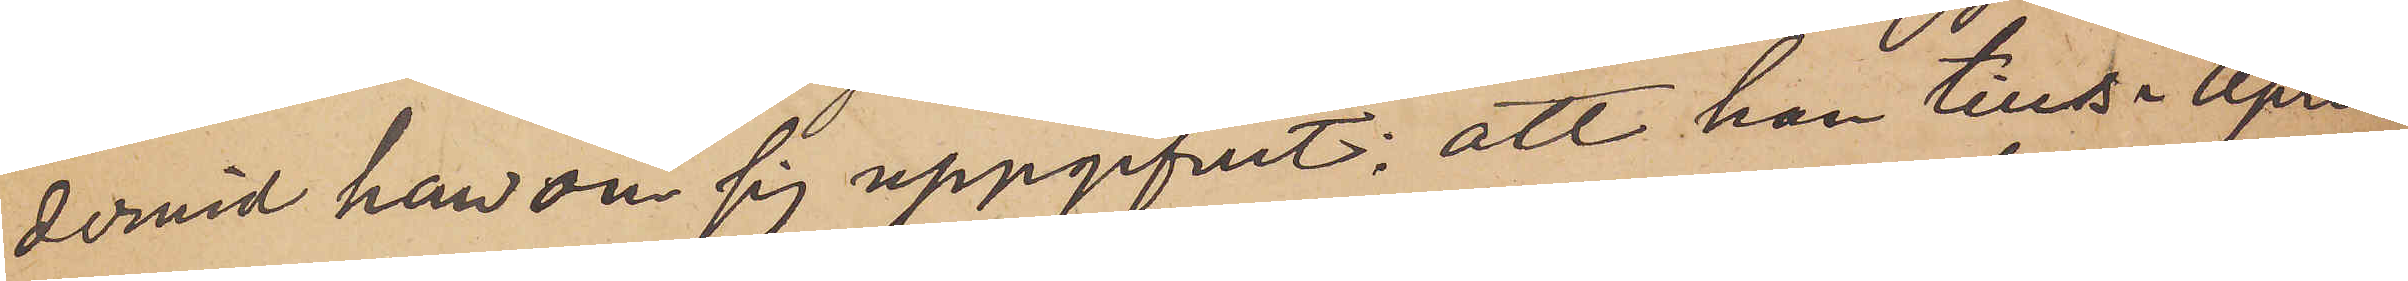dervid han om sig uppgifvit; att han tills i April
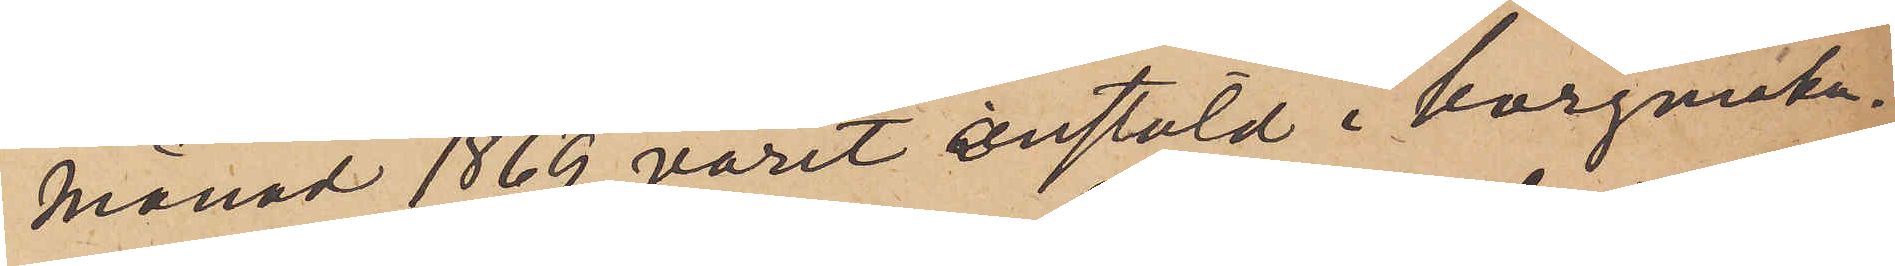månad 1869 varit anstäld i korgmaka¬
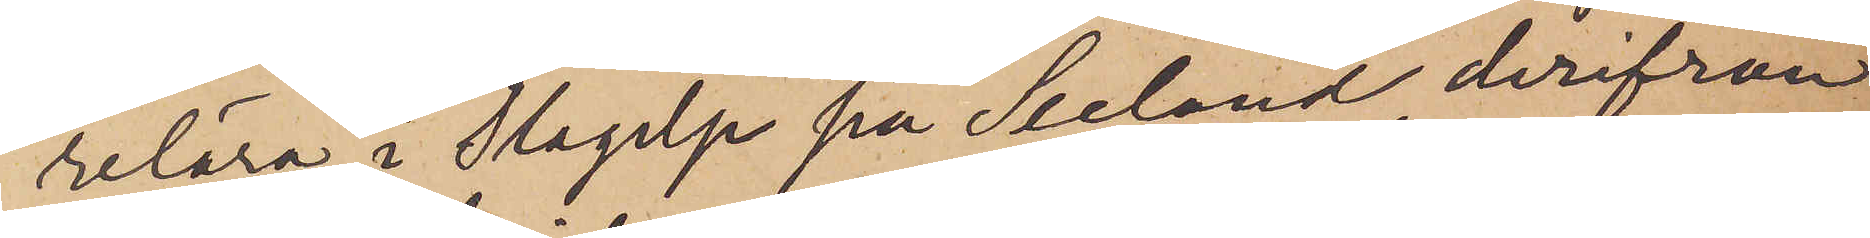relära i Slagelse på Seeland, derifrån
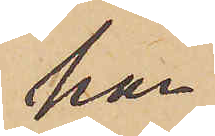han
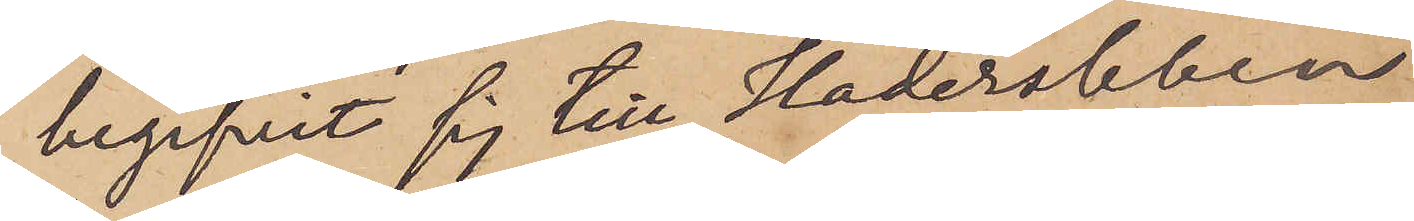begifvit sig till Hadersleven
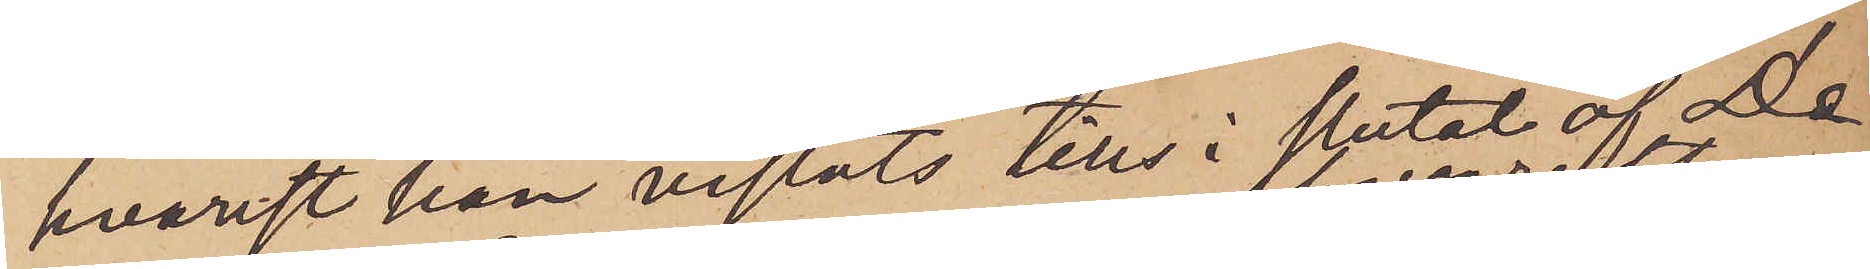hvarest han vistats tills i slutat af De¬
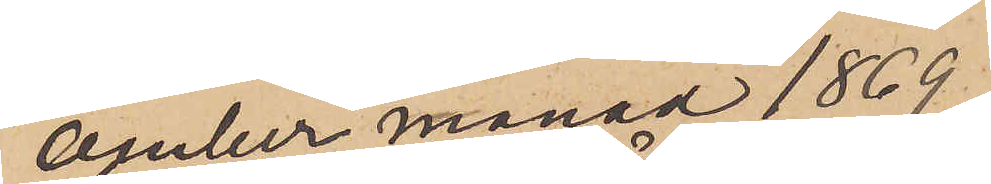cember månad 1869.
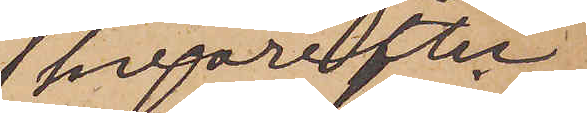 hvarefter
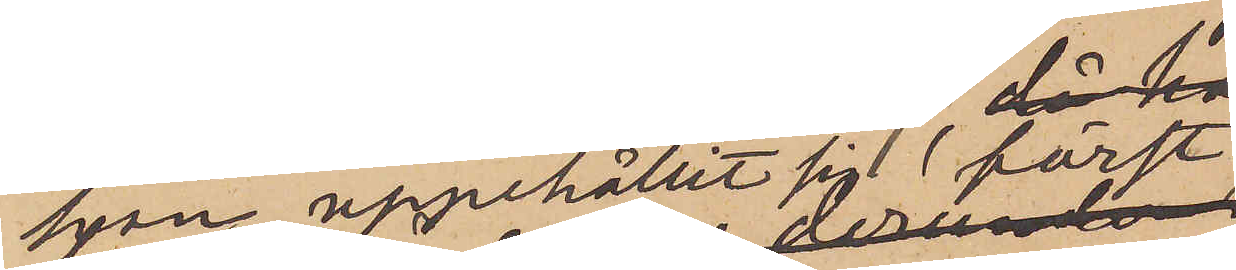han uppehållit sig först
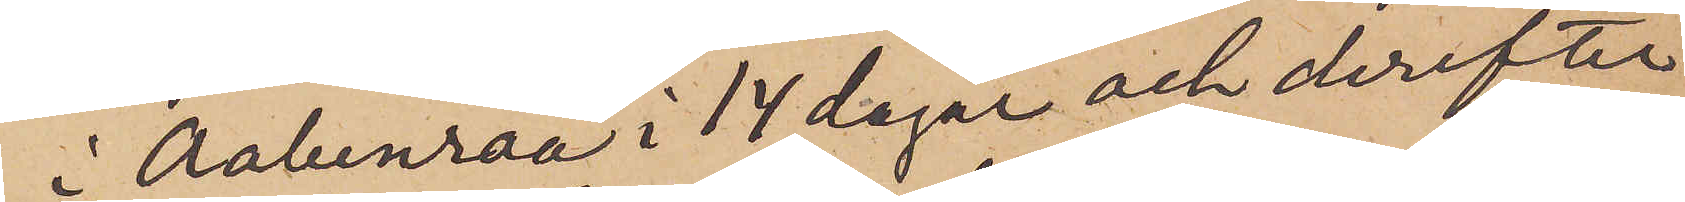i Aabenraa i 14 dagar och derefter
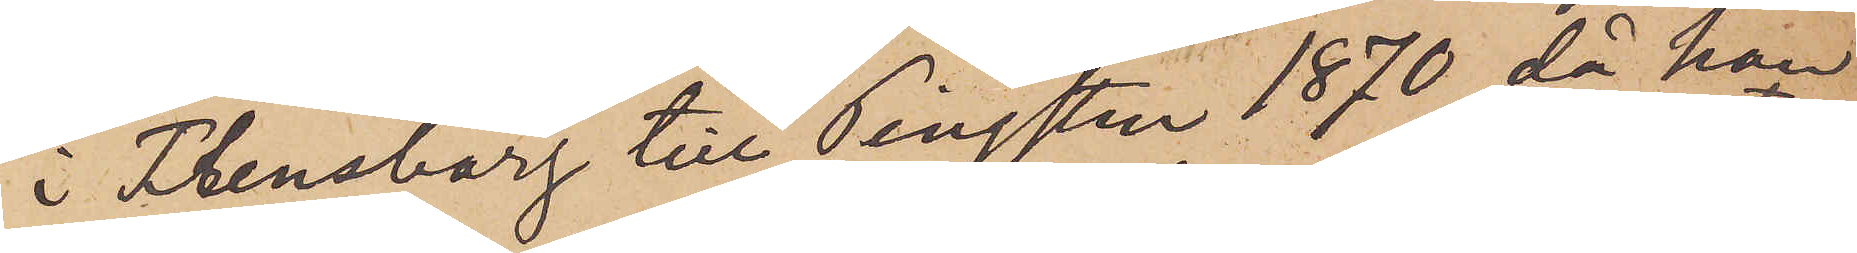i Flensburg till Pingsten 1870, då han
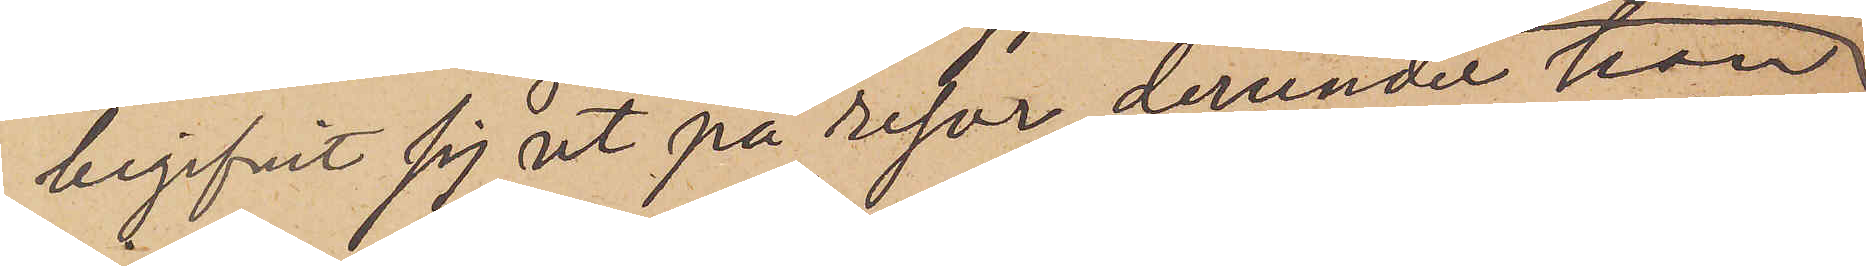begifvit sig ut på resor derunder han
